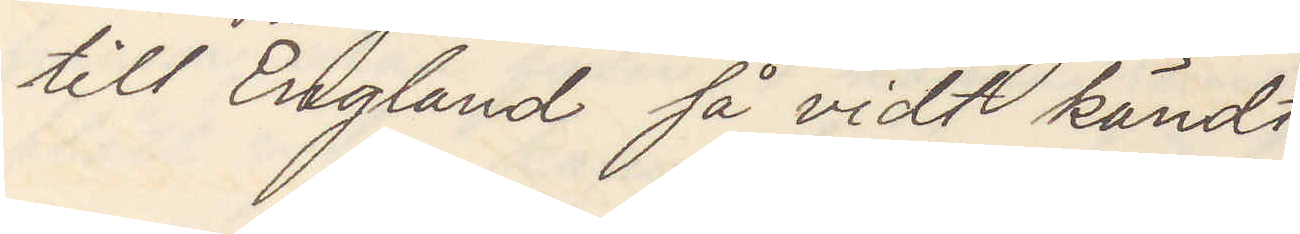till England så vidt kändt
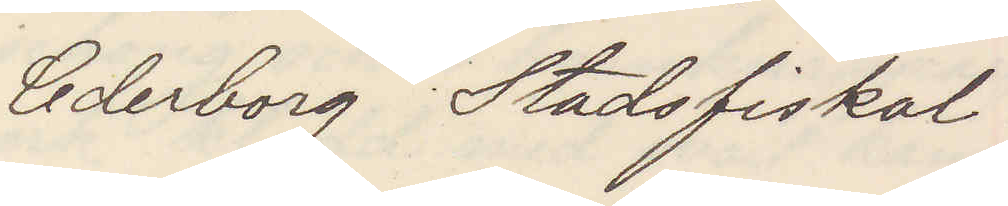Cederborg Stadsfiskal.
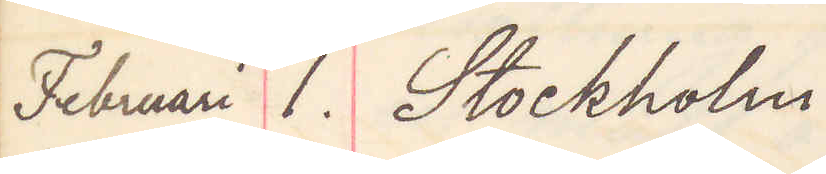Februari 1. Stockholm.
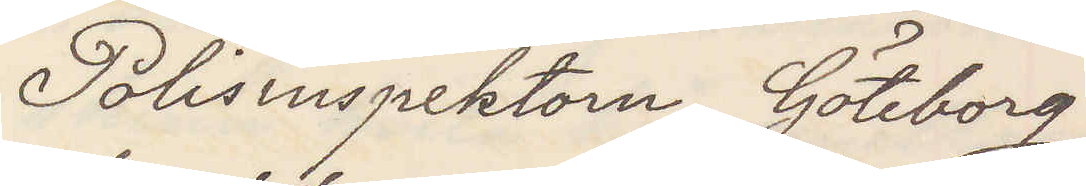Polisinspektorn Göteborg
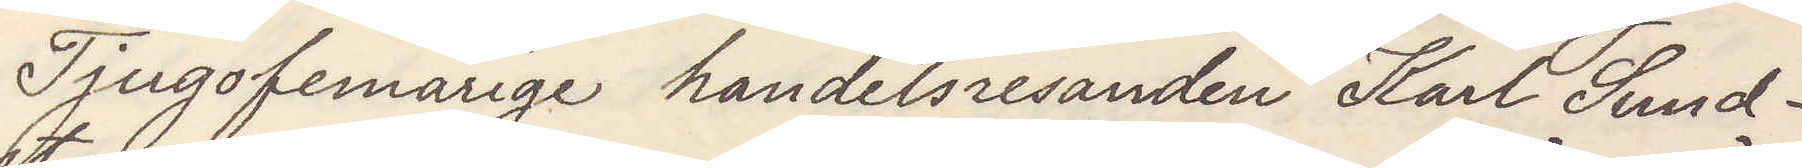Tjugofemårige handelsresanden Karl Sund¬
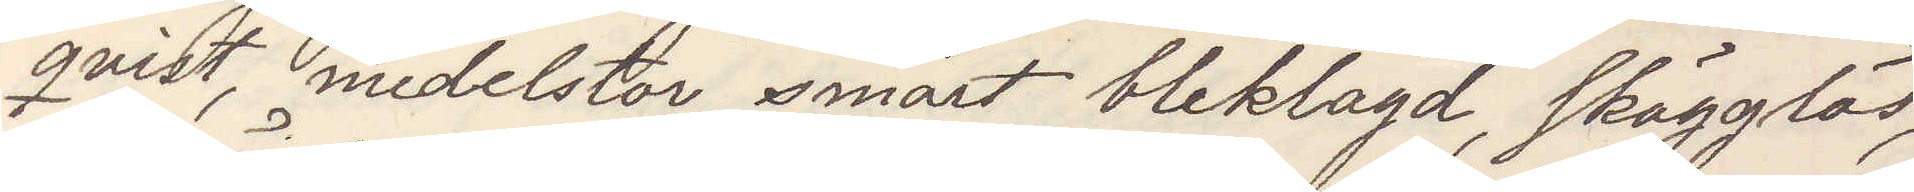qvist, medelstor, smärt, bleklagd, skägglös,
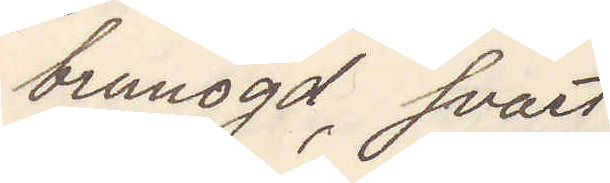brunögd, svart
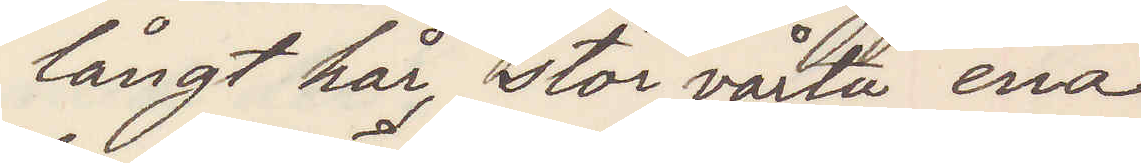långt hår, stor vårta ena
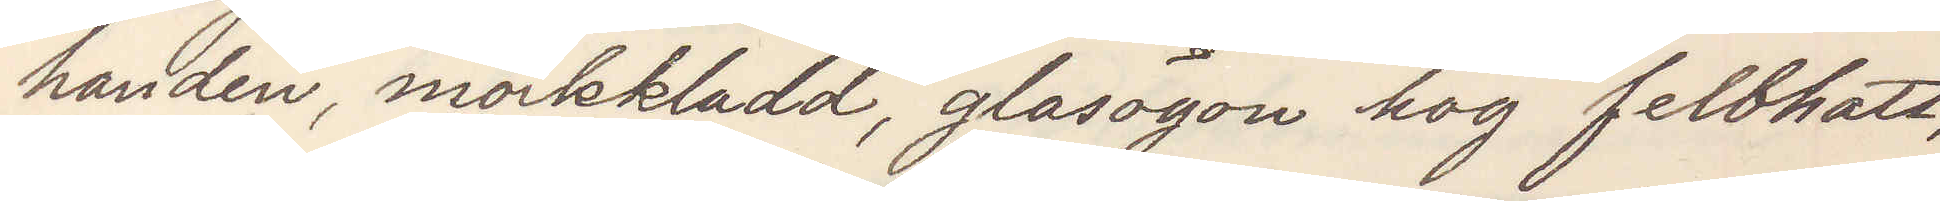handen, mörkkladd, glasögon hög felbhatt,
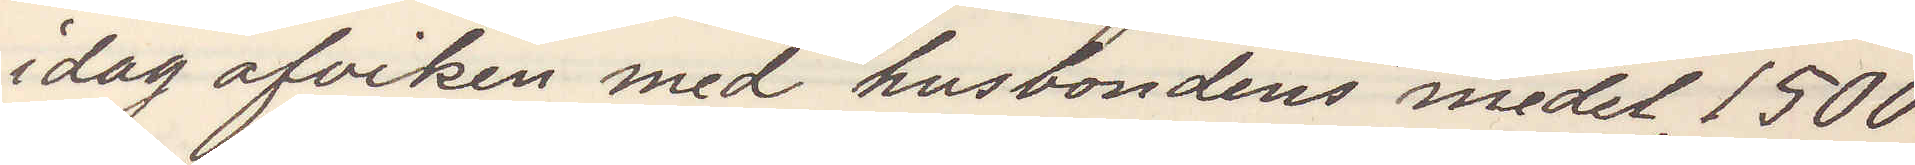idag afviken med husbondens medel 1500
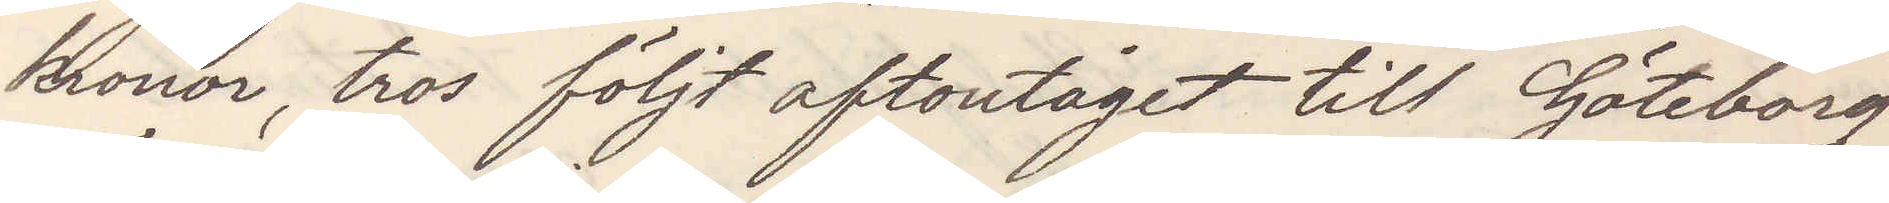kronor, tros följt aftontåget till Göteborg
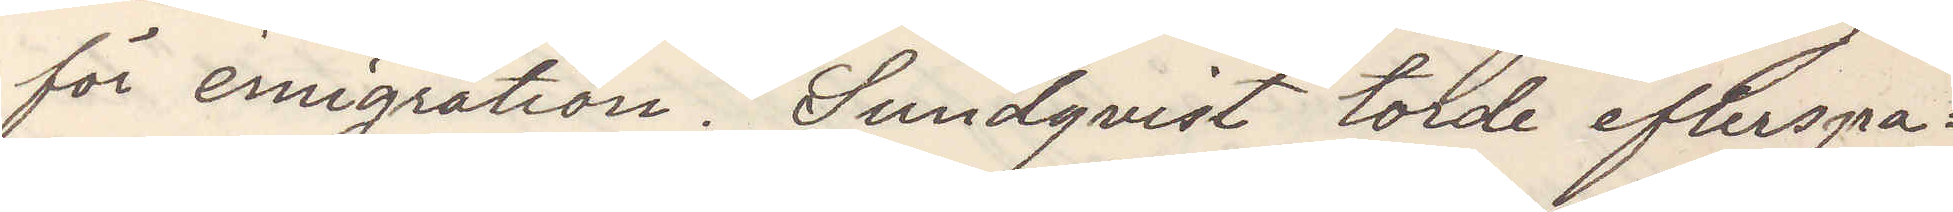för emigration. Sundqvist torde efterspa¬
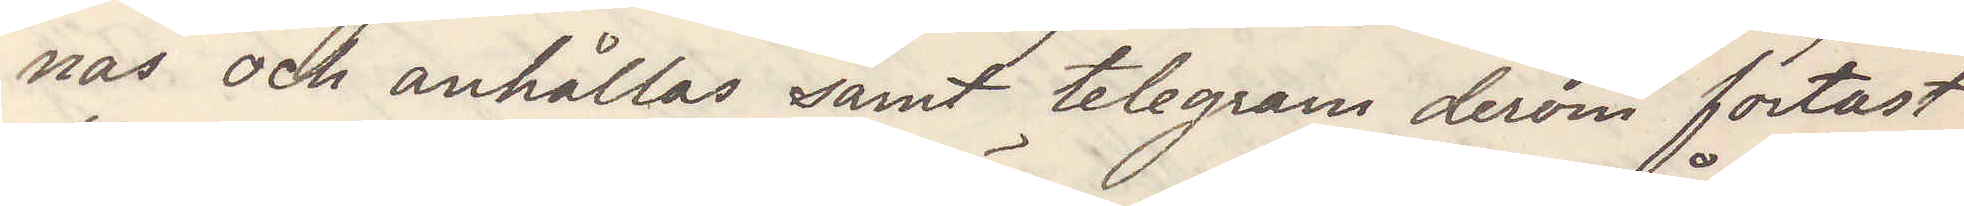nas och anhållas samt telegrem derom fortast
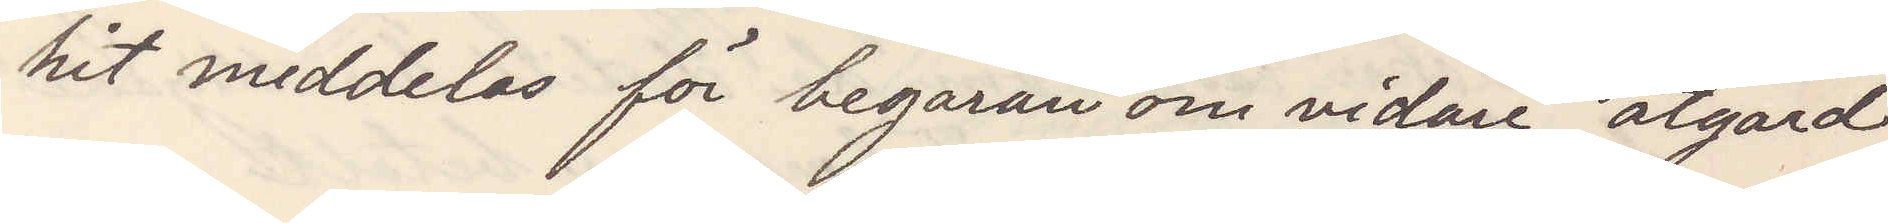hit meddelas för begäran om vidare åtgärd
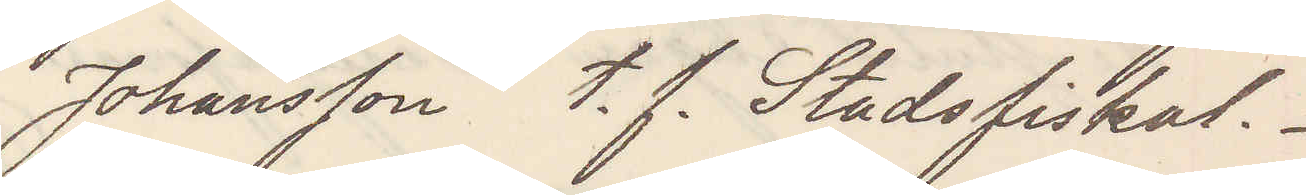Johansson  t. f. Stadsfiskal.
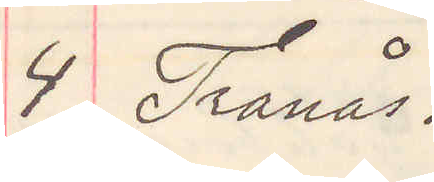4 Tranås.
